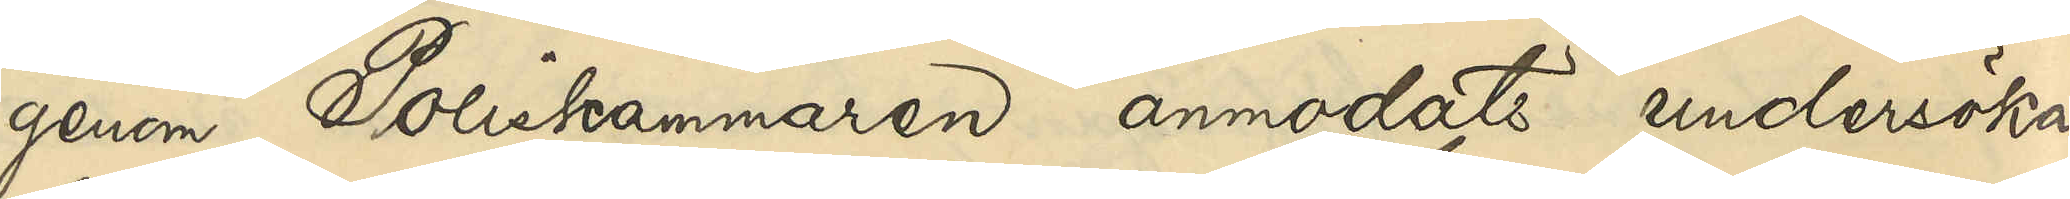genom Poliskammaren anmodats undersöka,
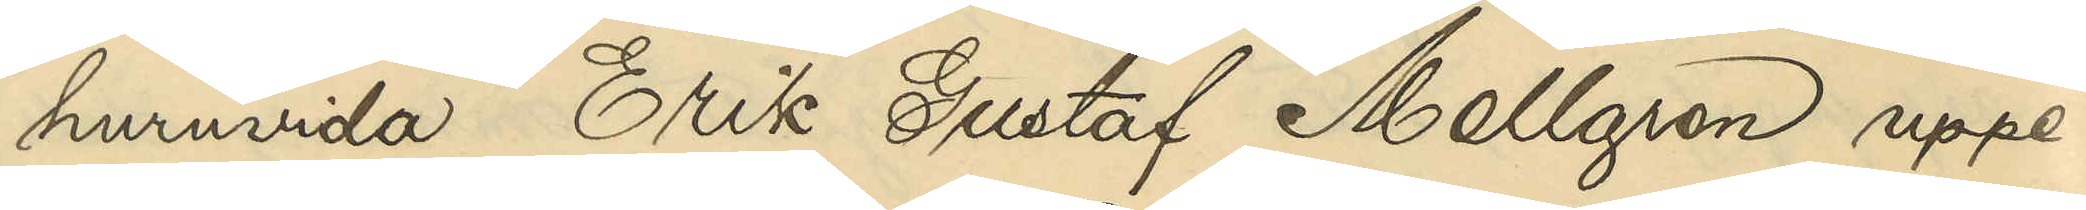huruvida Erik Gustaf Mellgren uppe¬
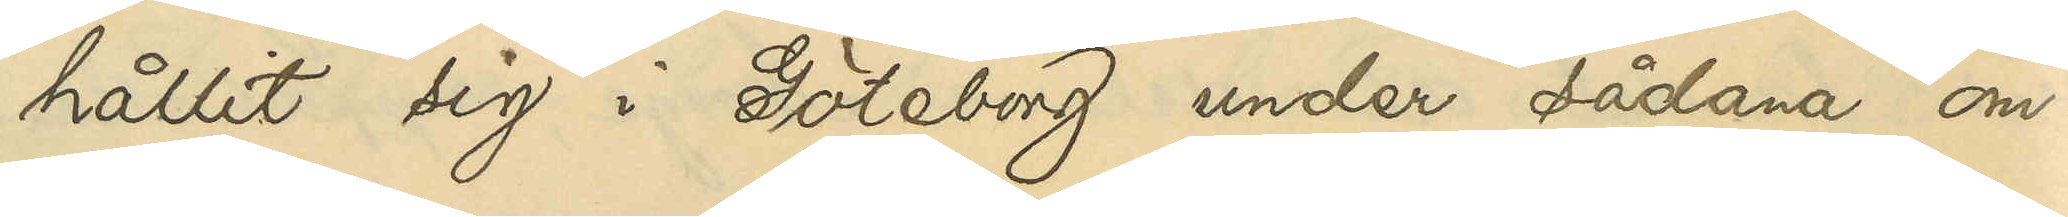hållit sig i Göteborg under sådana om¬
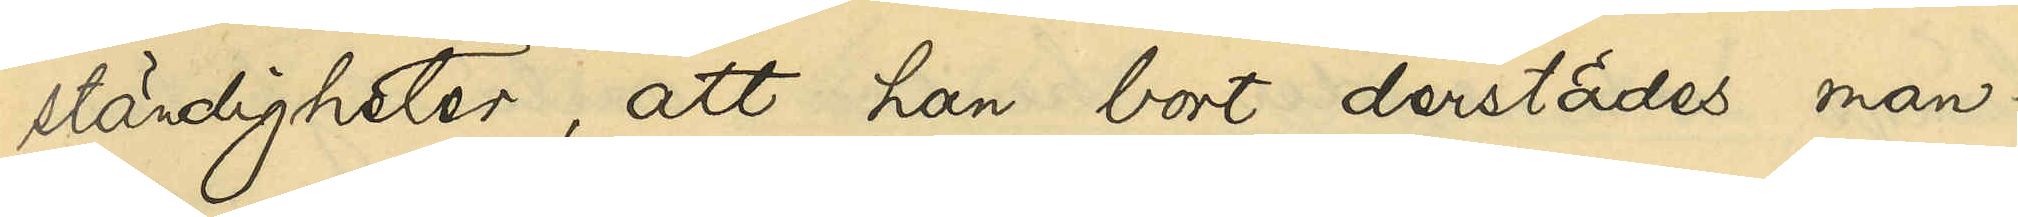ständigheter, att han bort derstädes man¬
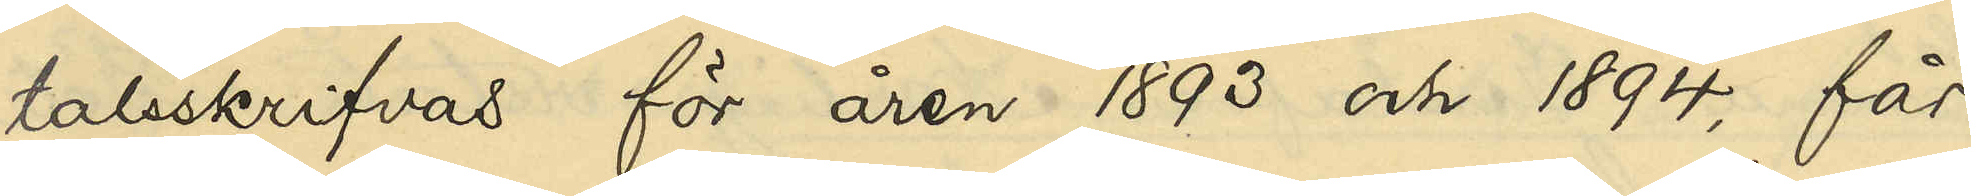talsskrifvas för åren 1893 och 1894, får
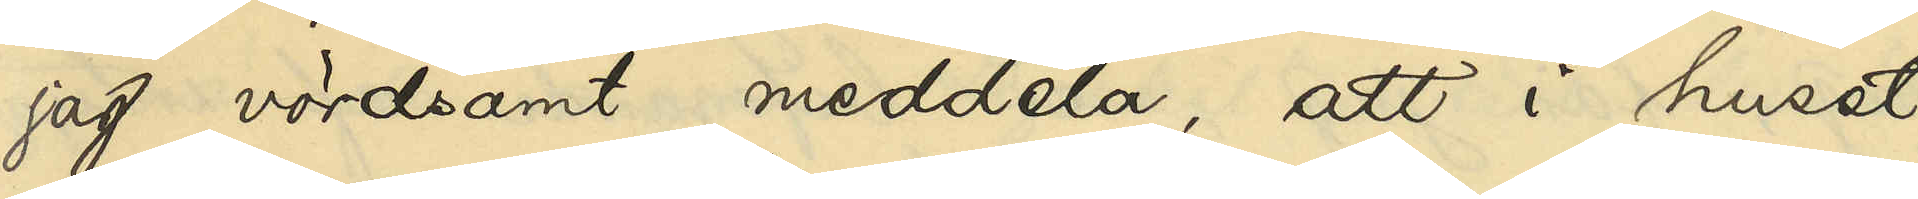jag vördsamt meddela, att i huset
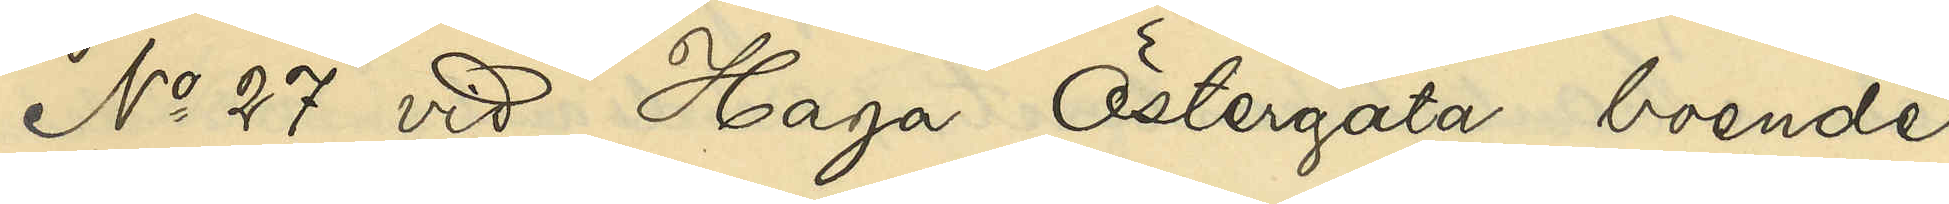No 27 vid Haga Östergata boende
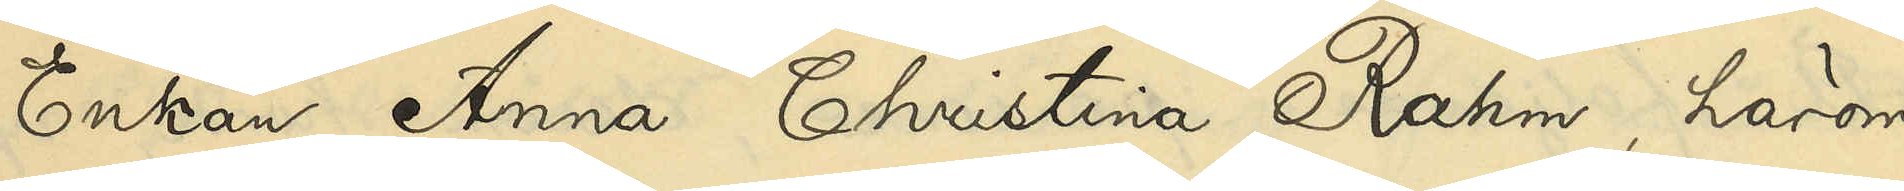Enkan Anna Christina Rahm, härom
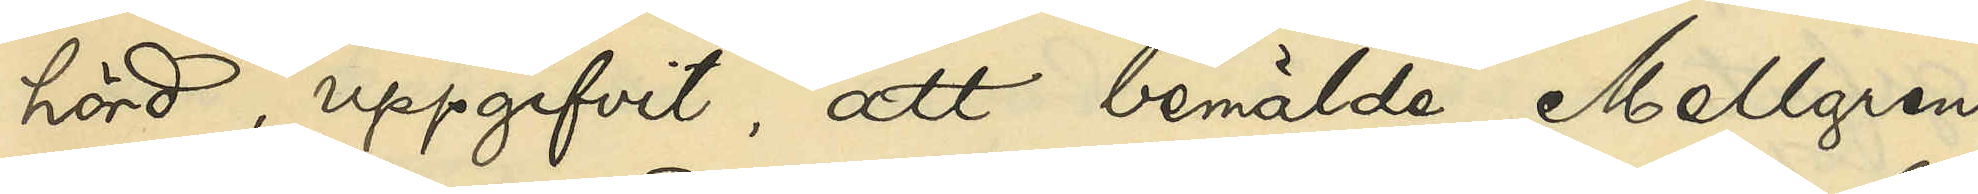hörd, uppgifvit, att bemälde Mellgren
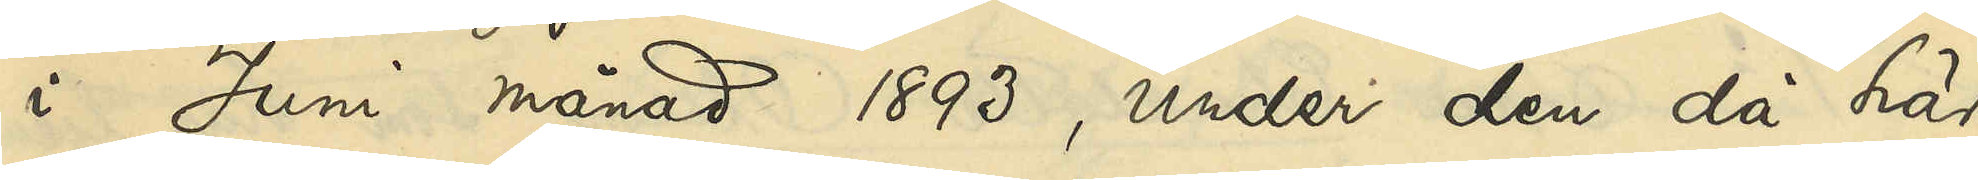i Juni månad 1893, under den då här 
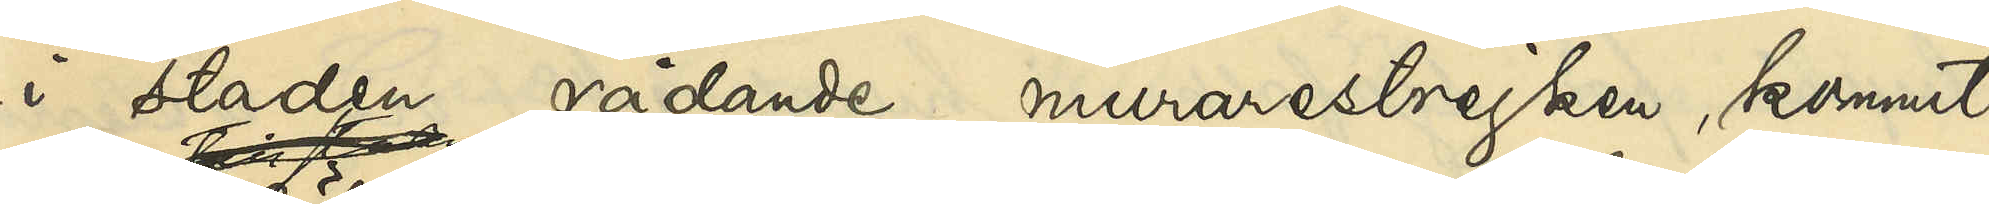i staden rådande murarestrejken, kommit
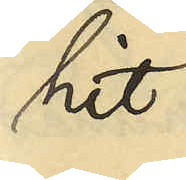hit
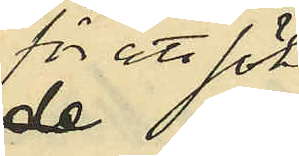för att söka
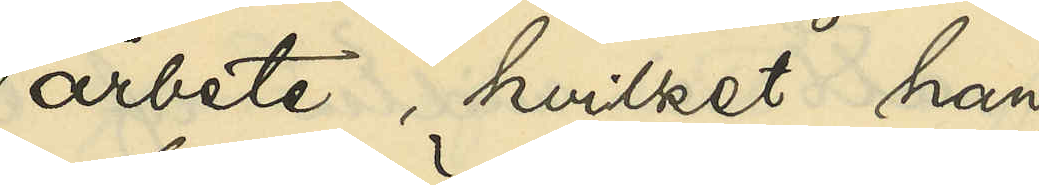arbete, hvilket han
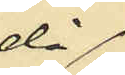då
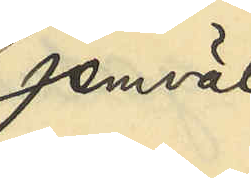jemväl
